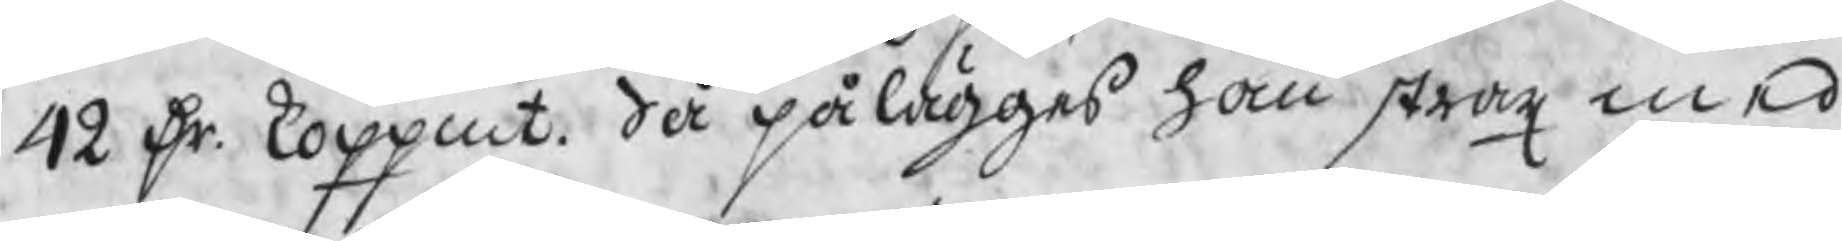42 Dr. koppmt. då pålägges han strax med
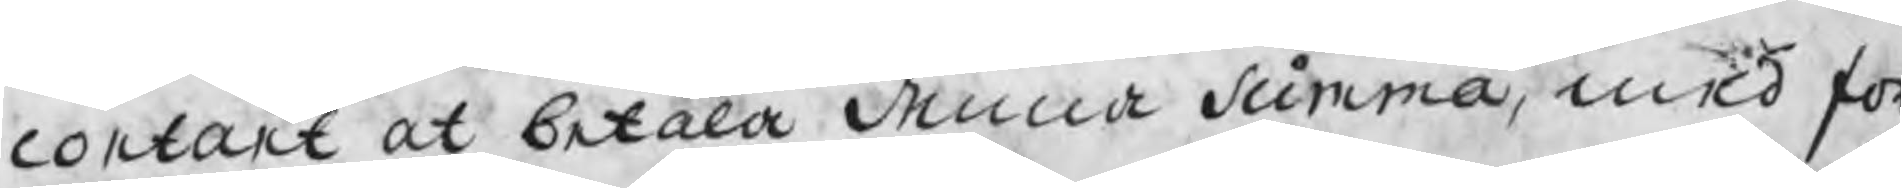contant at betala denna summa, med för
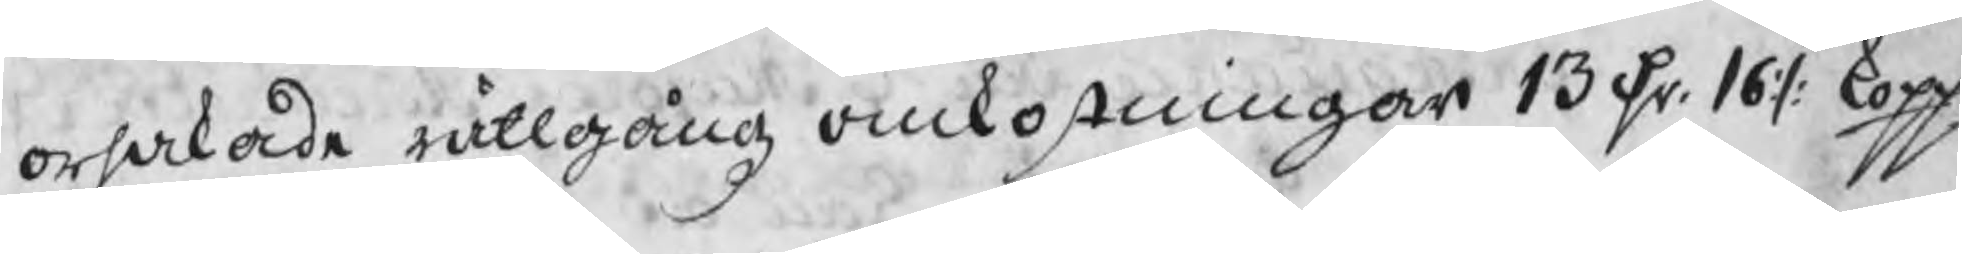orsakade rättgångz omkostningar 13 Dr. 16 :/: kopp:
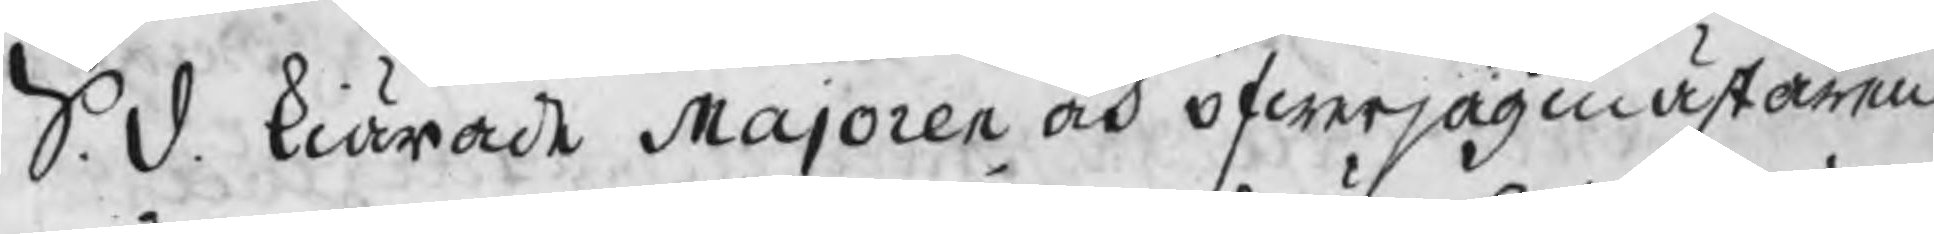S. d. kiärade Majoren och öfwerjägmästaren
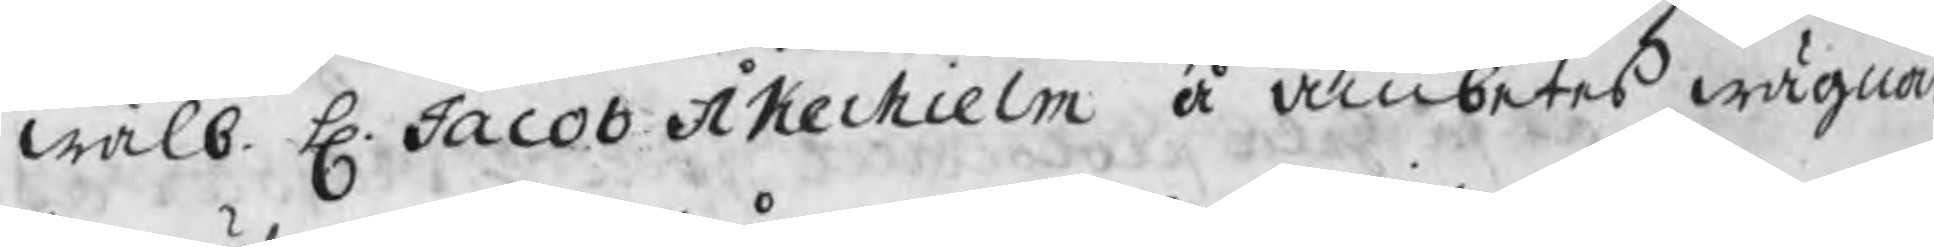wälb. H. Jacob Åkerhielm å ämbetes wägnar
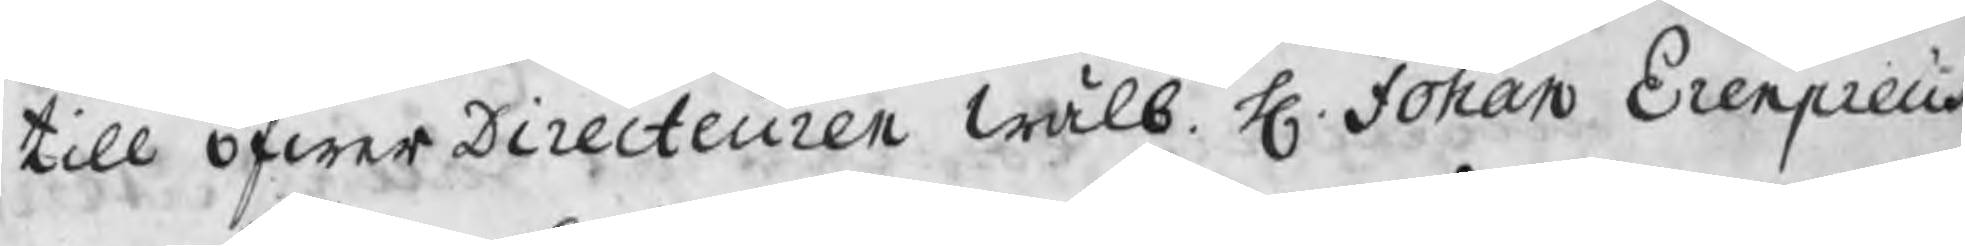till öfwerDirecteuren wälb. H. Johan Erenpreus
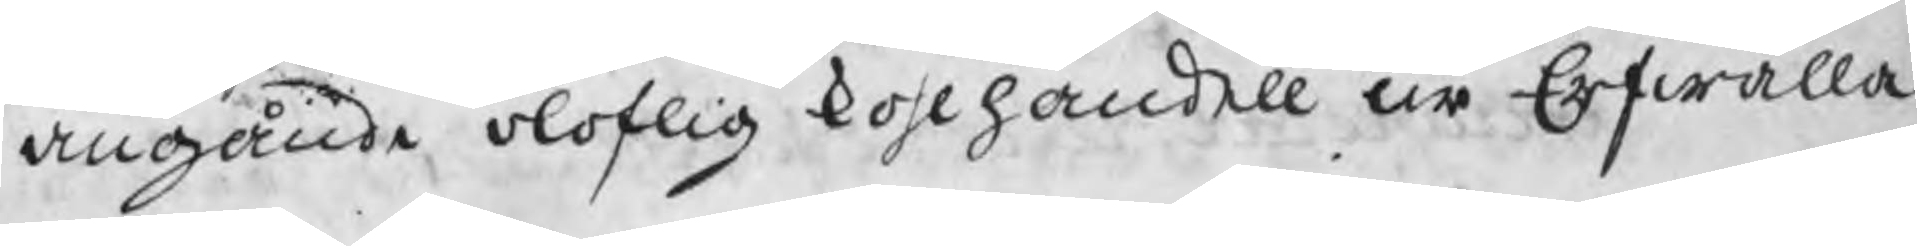angående oloflig kohlhandell ur Erfwalla
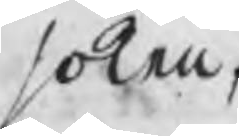soken,
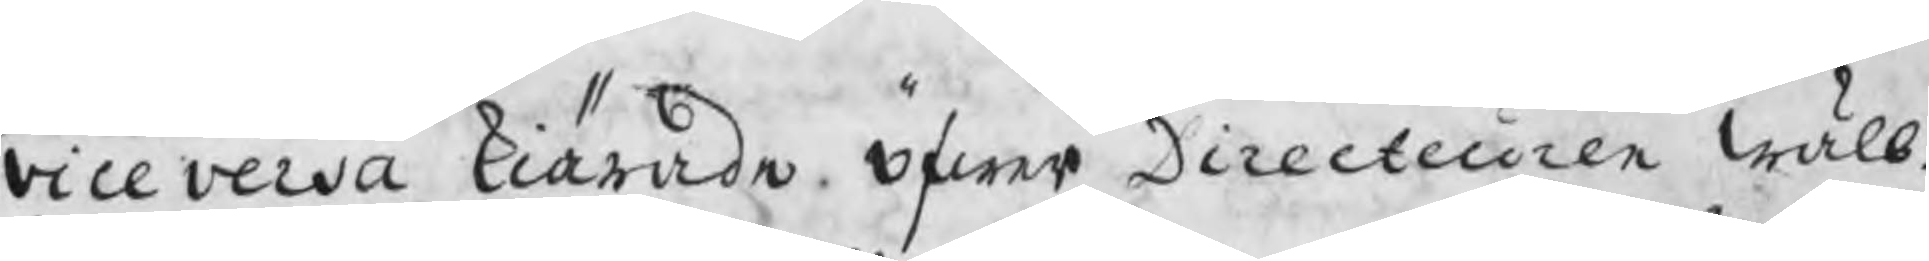vice versa kiärade öfwer Directeuren wälb.
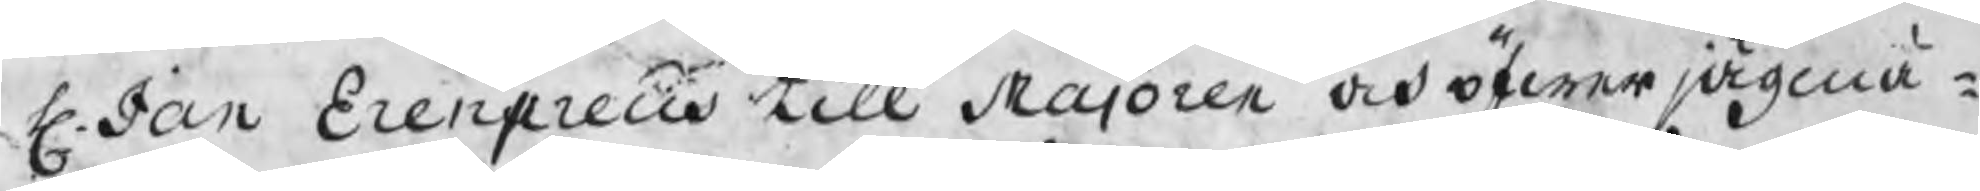H. Jan Erenpreus till Majoren och öfwerjägmä¬
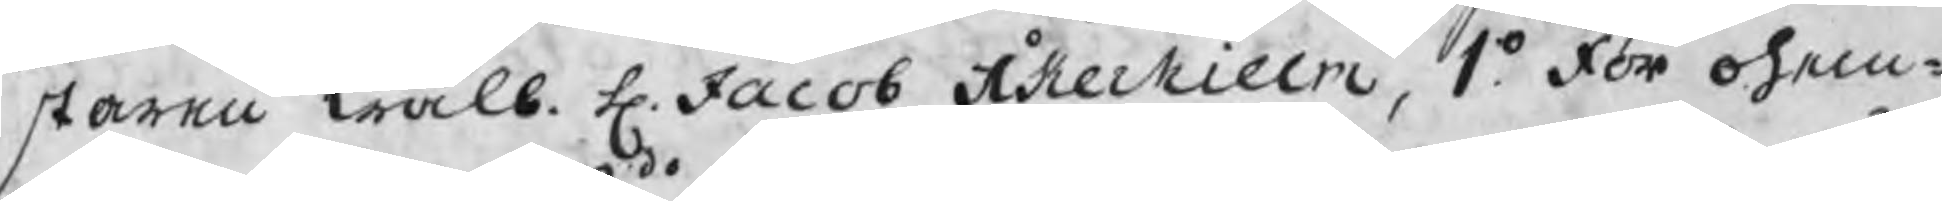staren wälb. H. Jacob Åkerhielm, 1o. För ohem¬
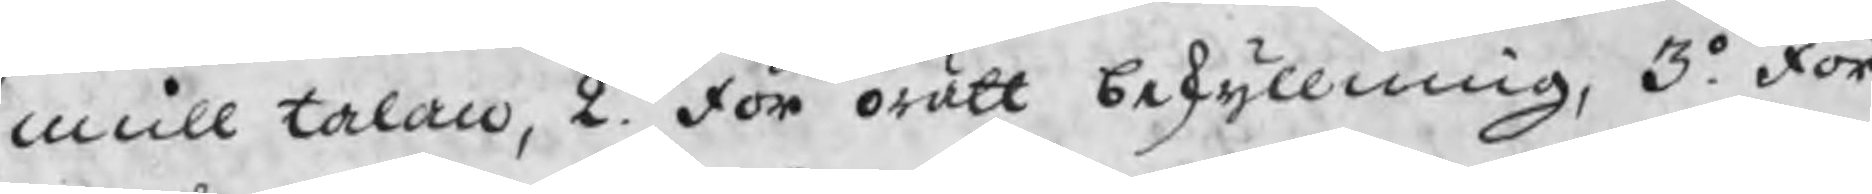mull talan, 2do. För orätt beskyllning, 3o. För
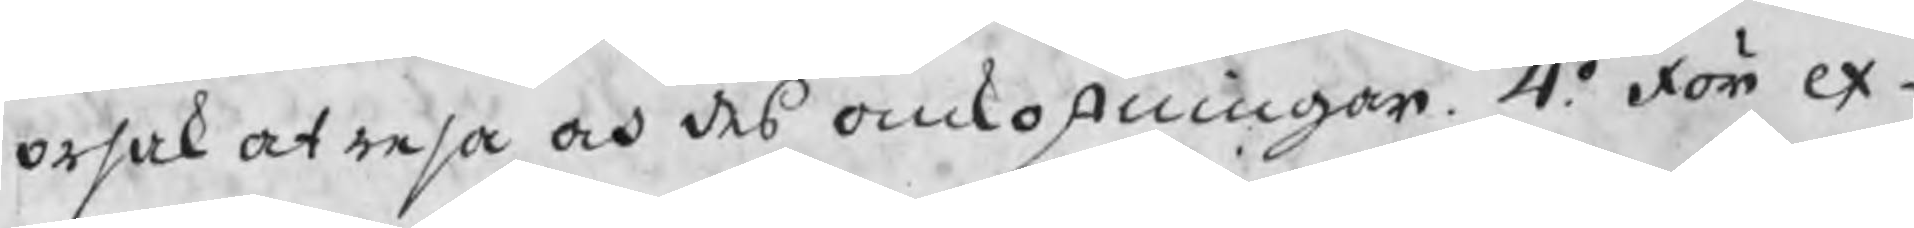orsak at resa och des omkostningar. 4o. För ex¬
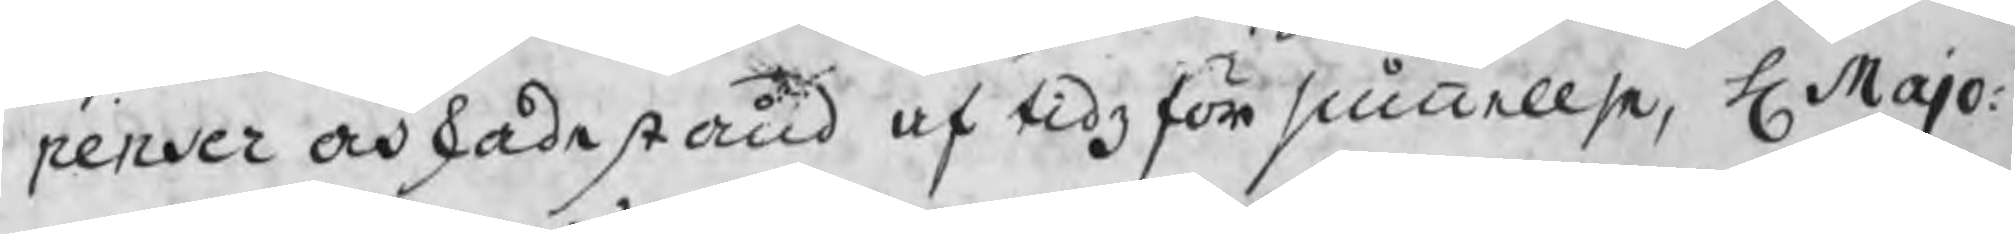penser och skadestånd af tidzförsummelse, H Majo¬
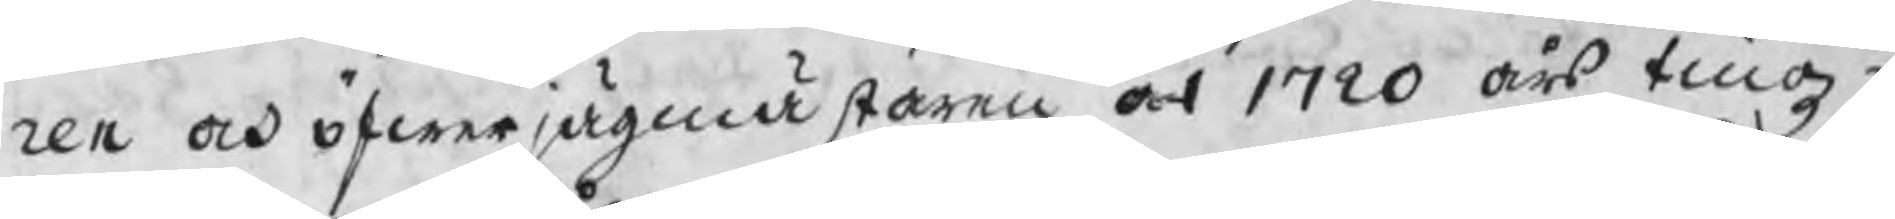ren och öfwerjägmästaren at 1720 års tingz¬
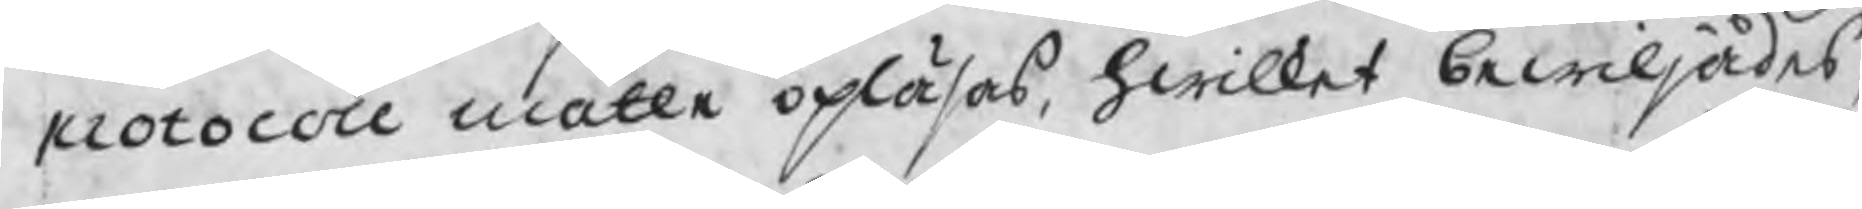protocoll måtte opläsas, hwilket bewiljades,
